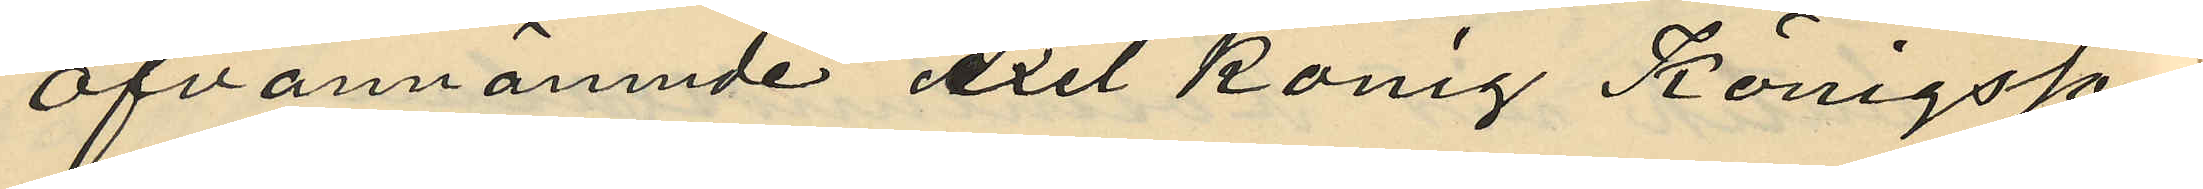Ofvannämnde Axel König Königsson
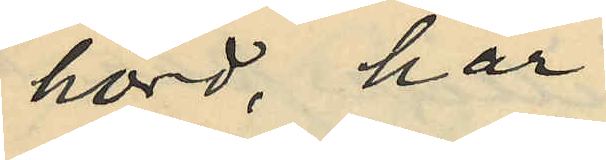hörd, har
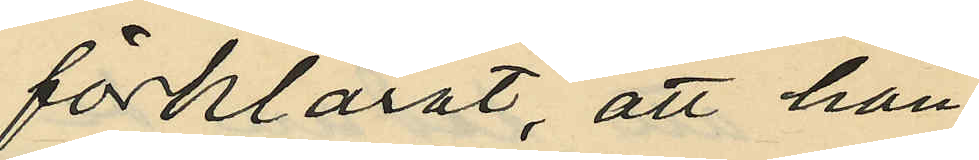förklarat, att han
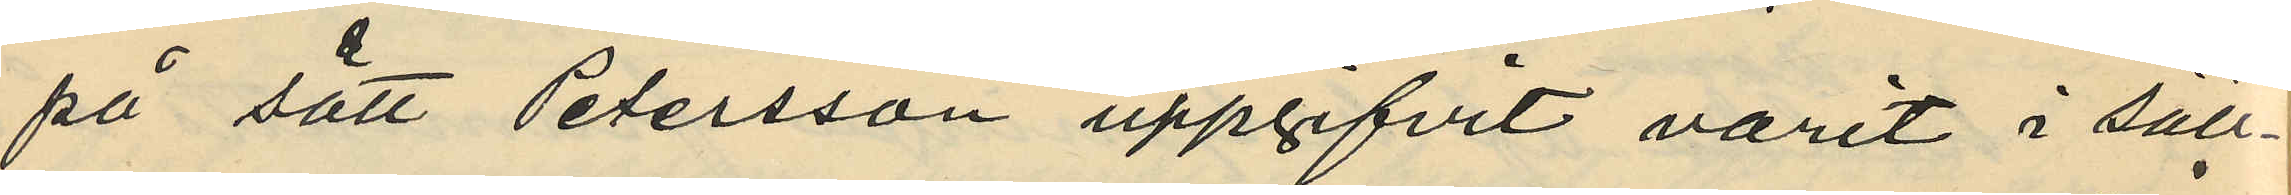på sätt Petersson uppgifvit varit i säll¬
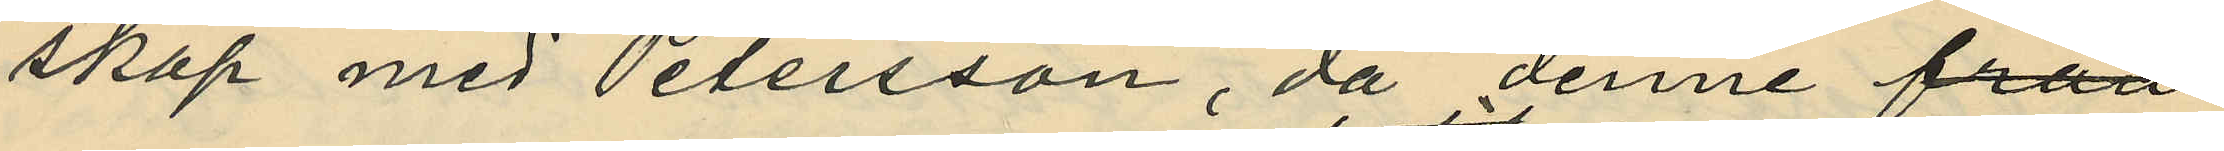skap med Petersson, då denne från
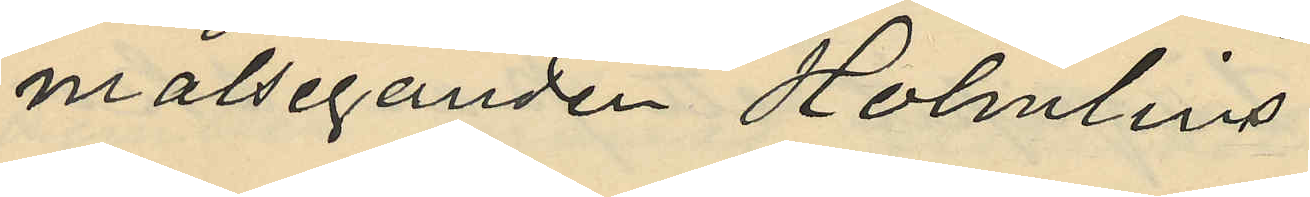målseganden Holmlins
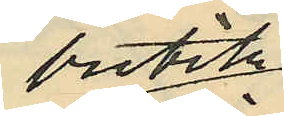butik
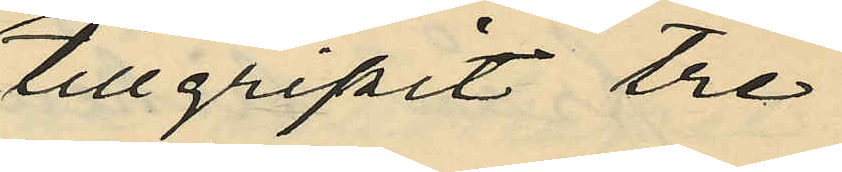tillgripit tre
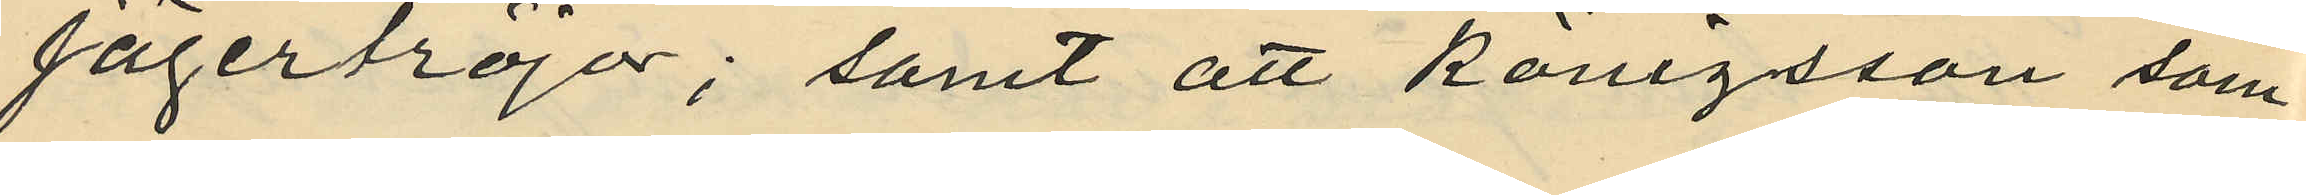jägartröjor; samt att Königsson som
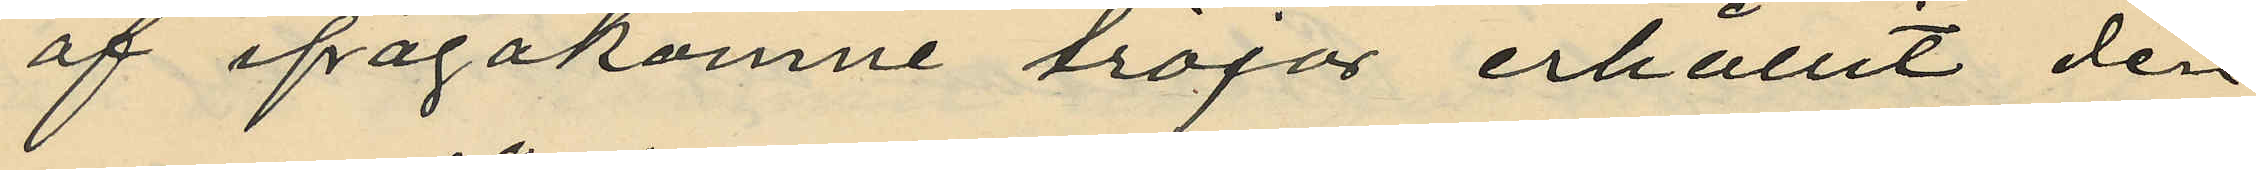af ifrågakomne tröjor erhållit den
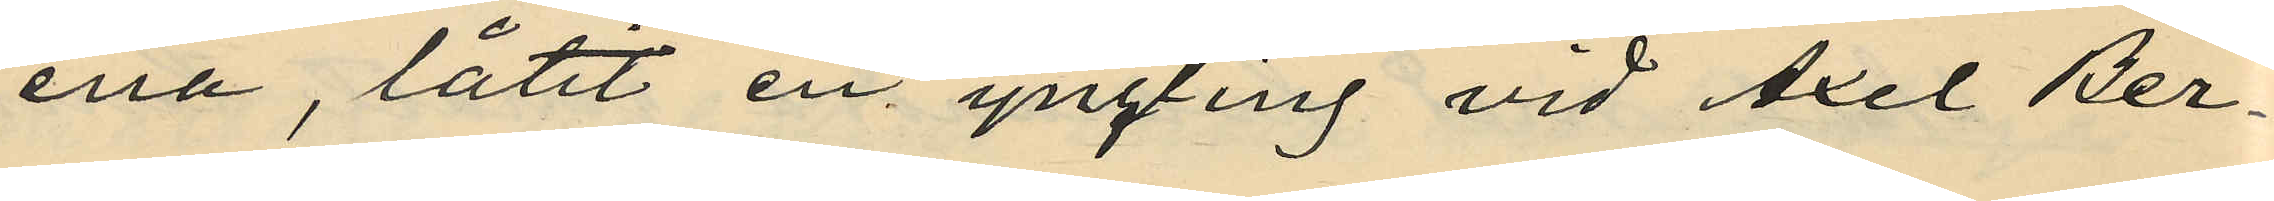ena, låtit en yngling vid Axel Ber¬
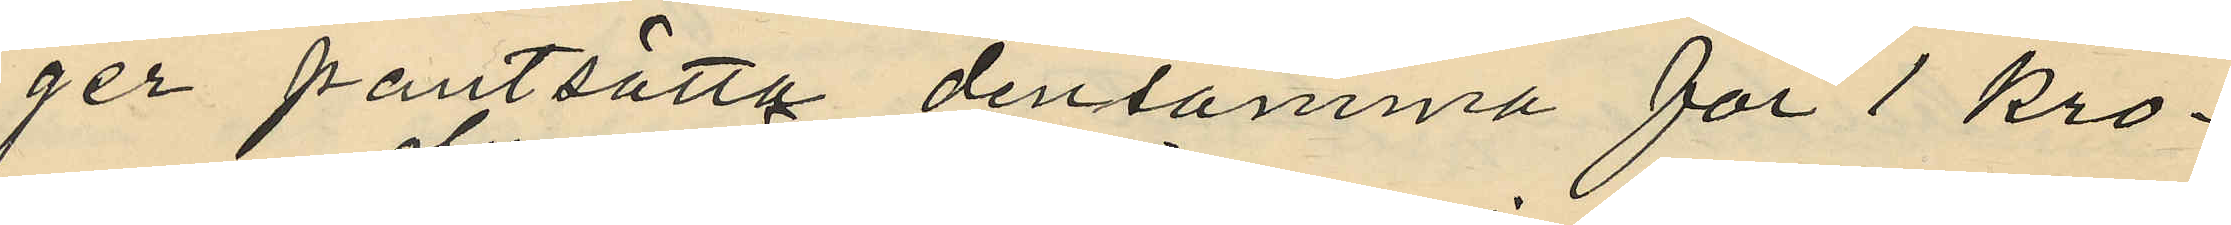ger pantsätta densamma för 1 kro¬
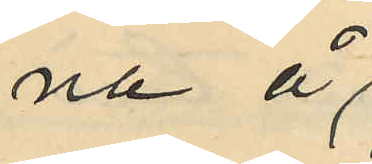na å
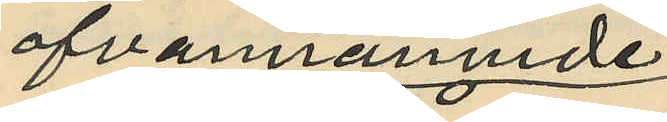ofvannämnde
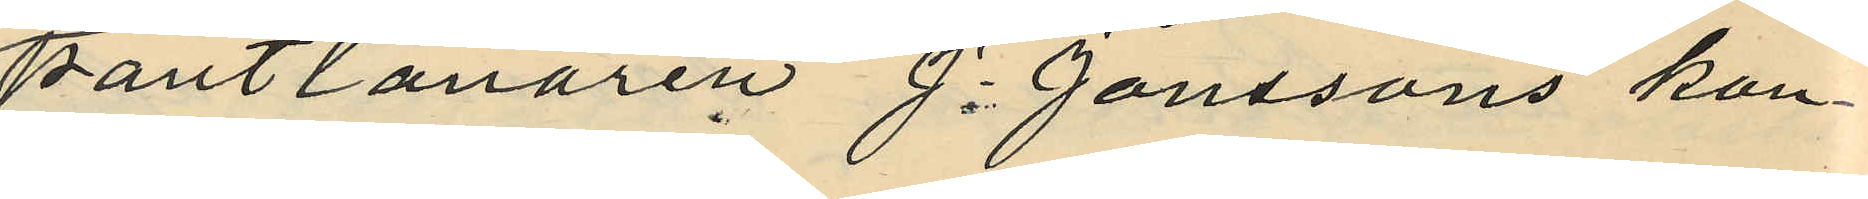pantlånaren J. Janssons kon¬
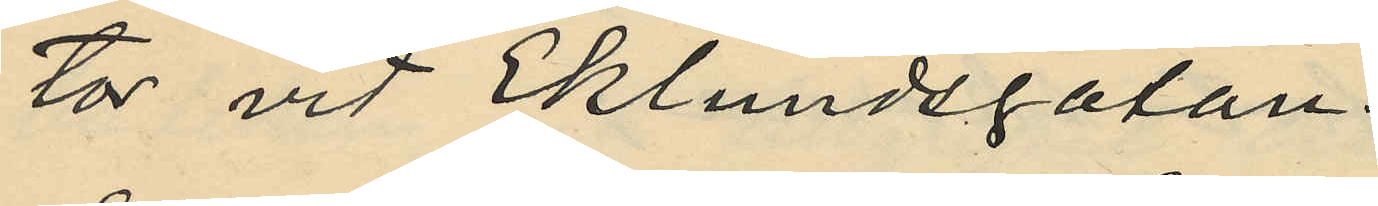tor vid Eklundsgatan.
